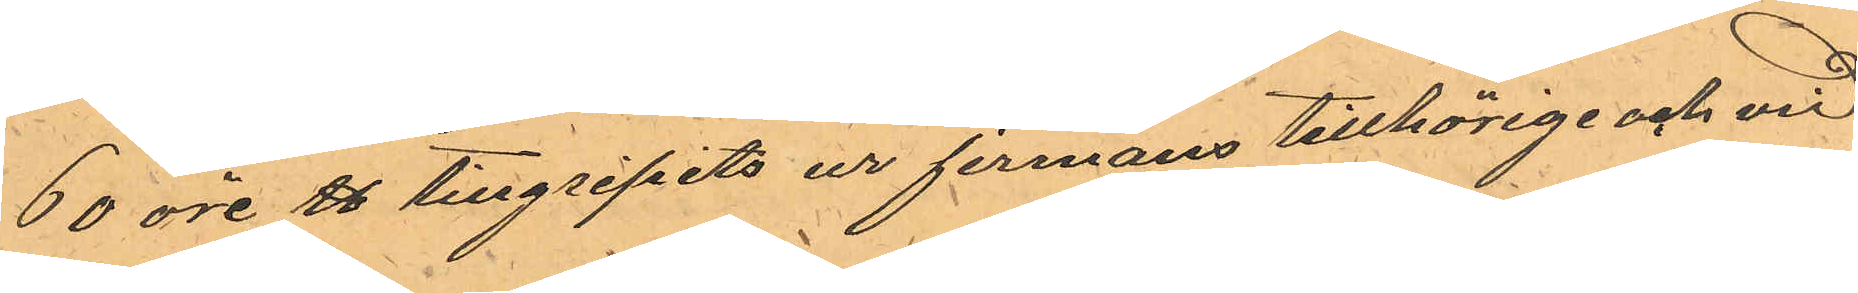60 öre ℔ tillgripits ur firmans tillhörige och vid
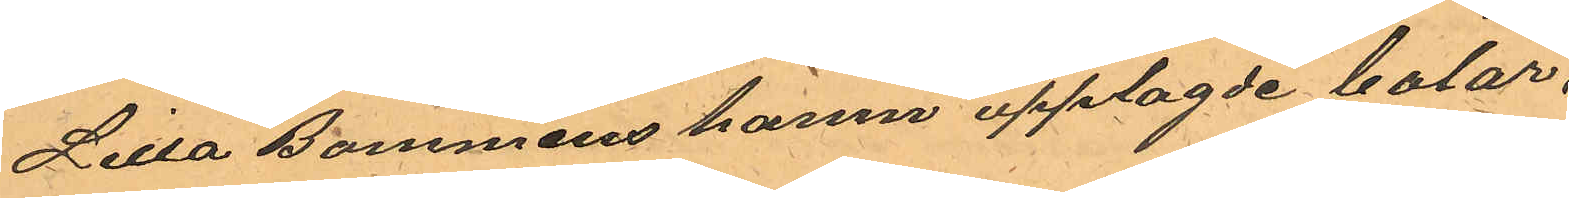Lilla Bommens hamn upplagde balar.
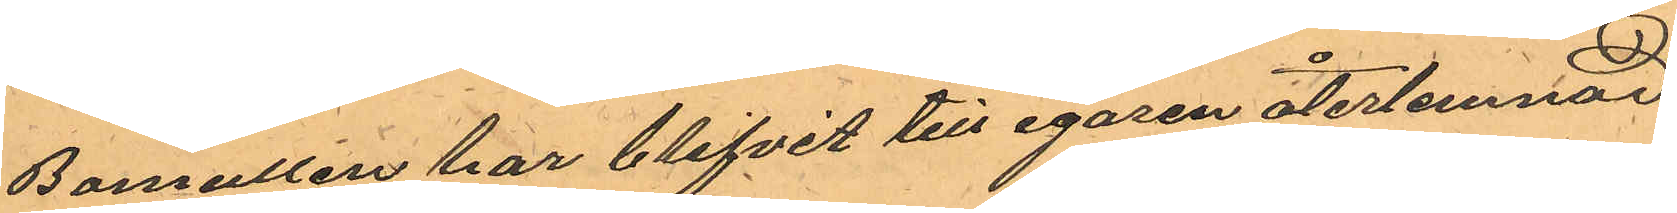Bomullen har blifvit till egaren återlemnad
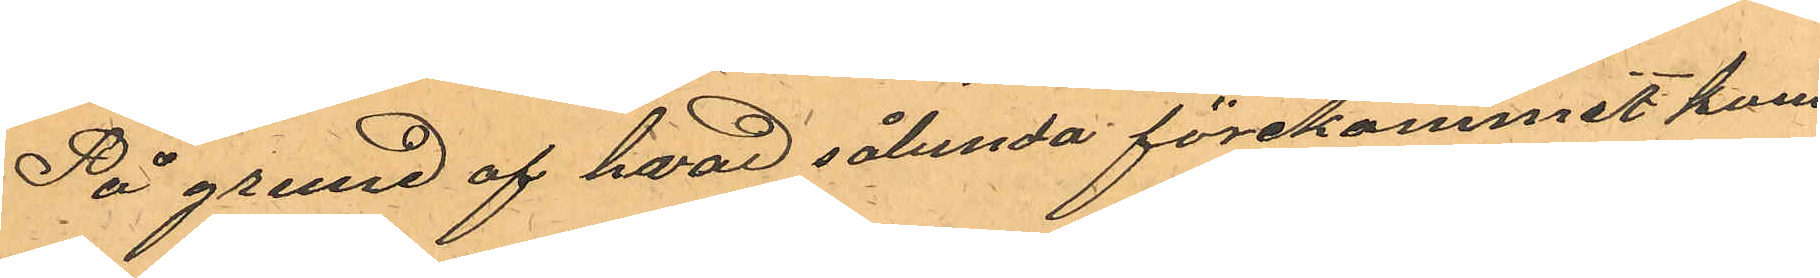På grund af hvad sålunda förekommit kom¬
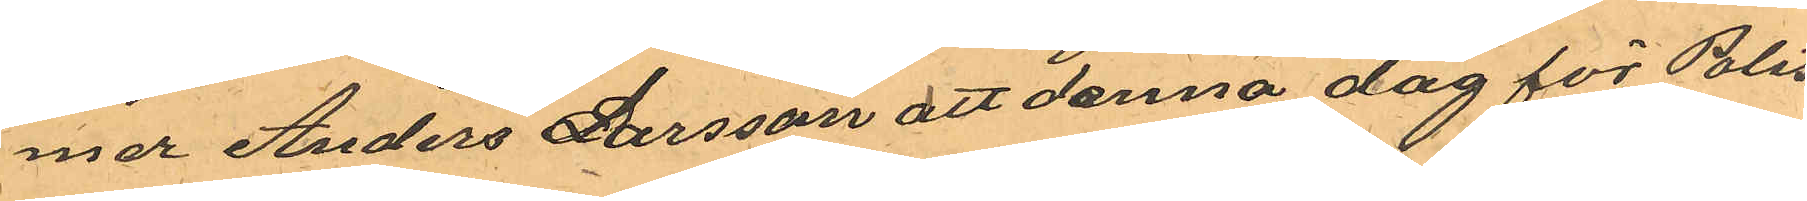mer Anders Larsson att denna dag för Polis¬
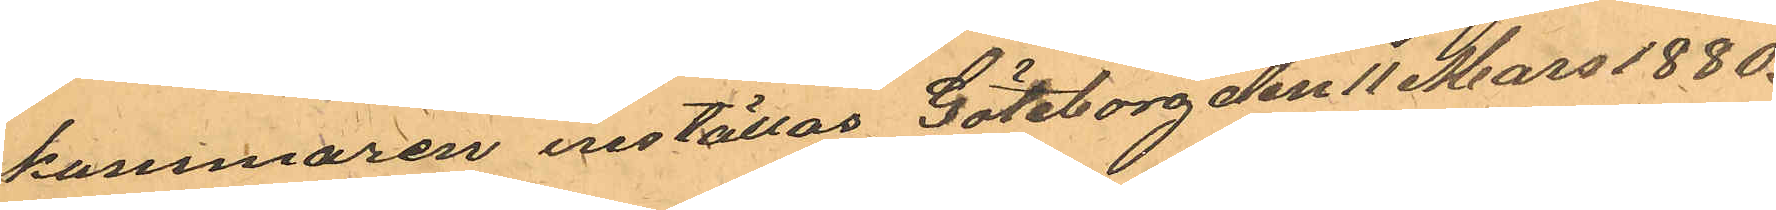kammaren inställas Göteborg den 11 Mars 1880.
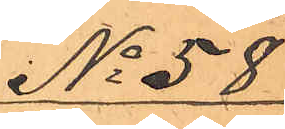No 58
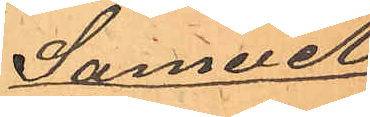Samuel
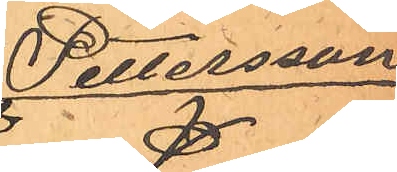Pettersson
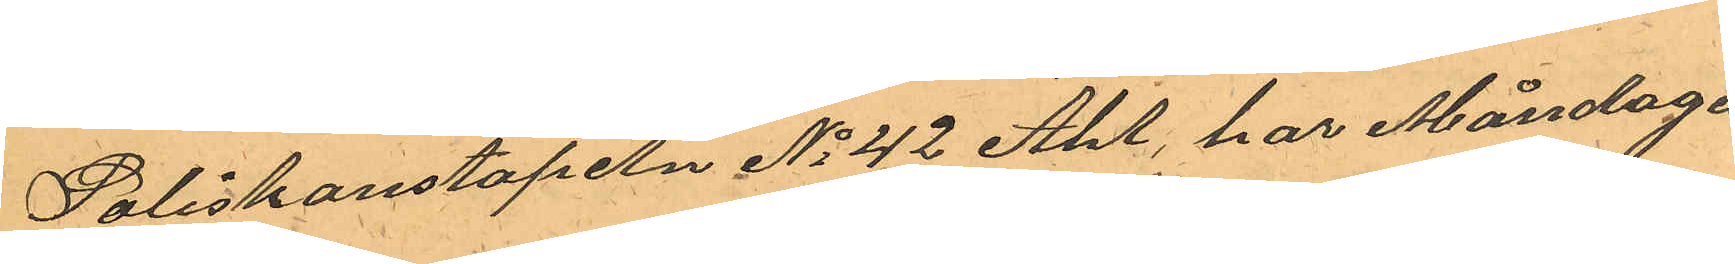Poliskonstapeln No 42 Ahl har Måndagen
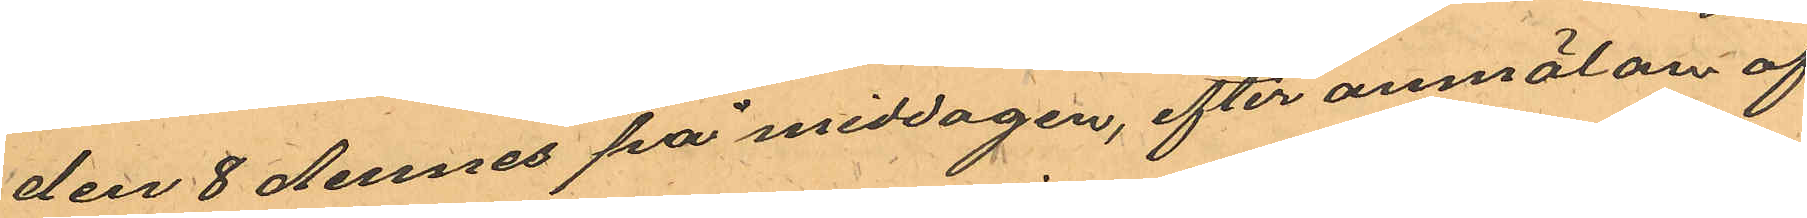den 8 dennes på middagen, efter anmälan af
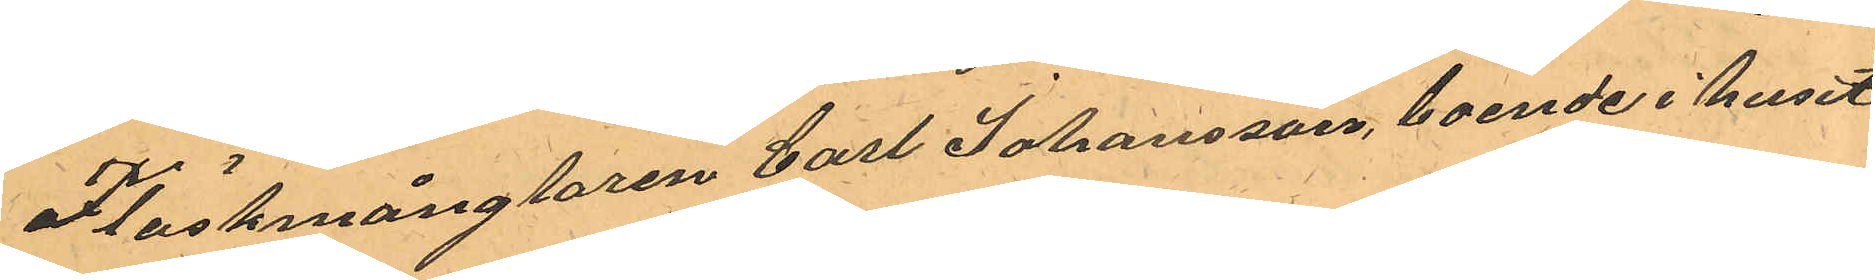Fläskmånglaren Carl Johansson, boende i huset
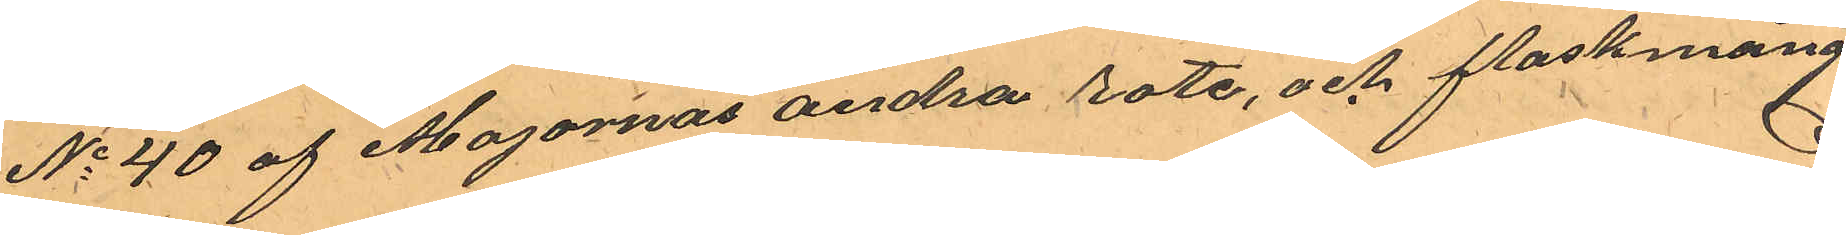No 40 af Majornas andra rote, och flaskmång¬
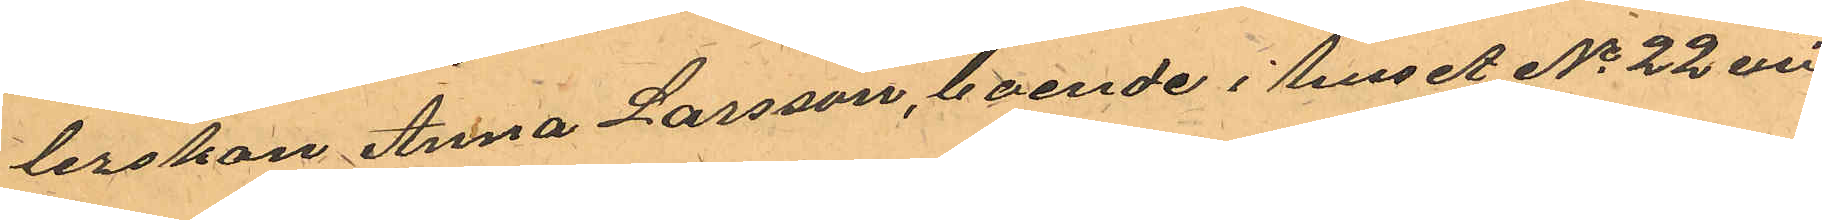lerskan Anna Larsson, boende i huset No 22 vid
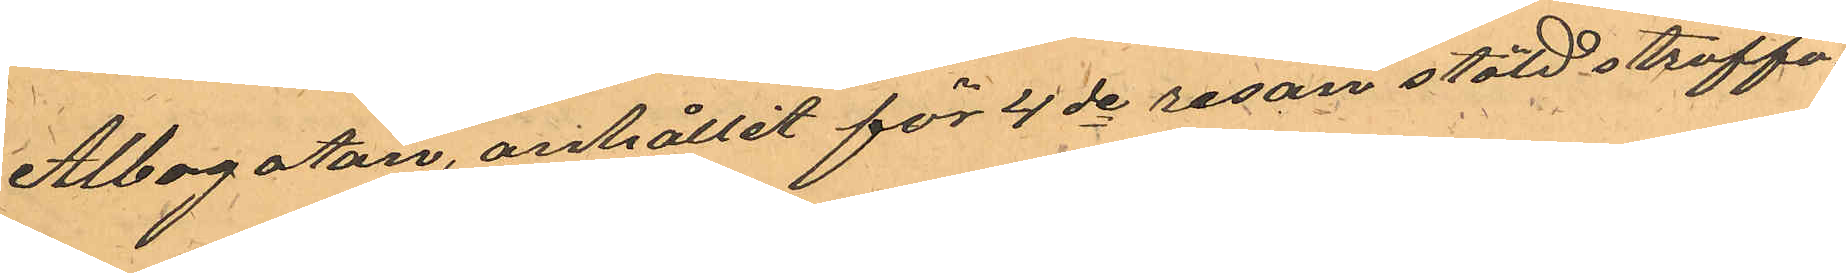Albogatan, anhållit för 4de resan stöld straffa¬
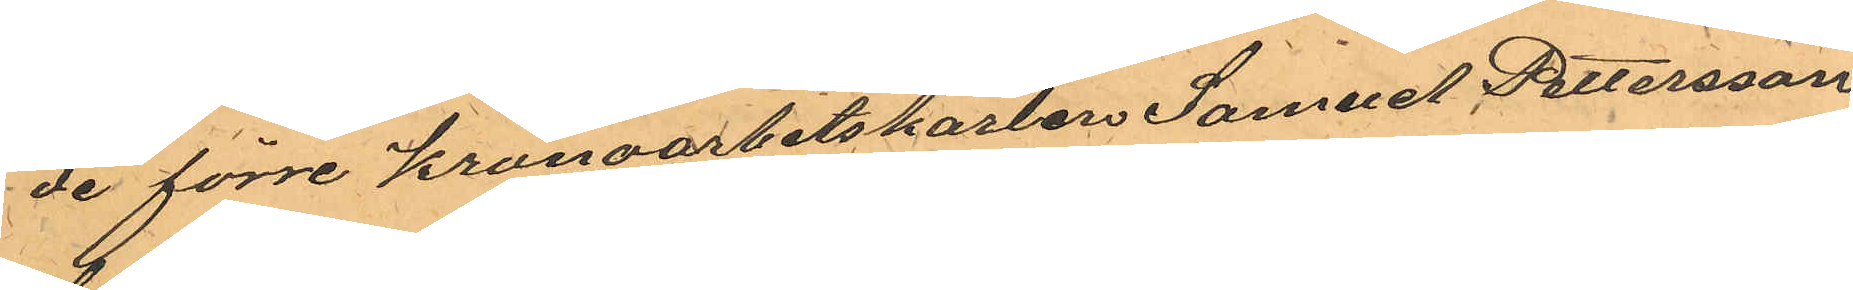de förre Kronoarbetskarlen Samuel Pettersson
